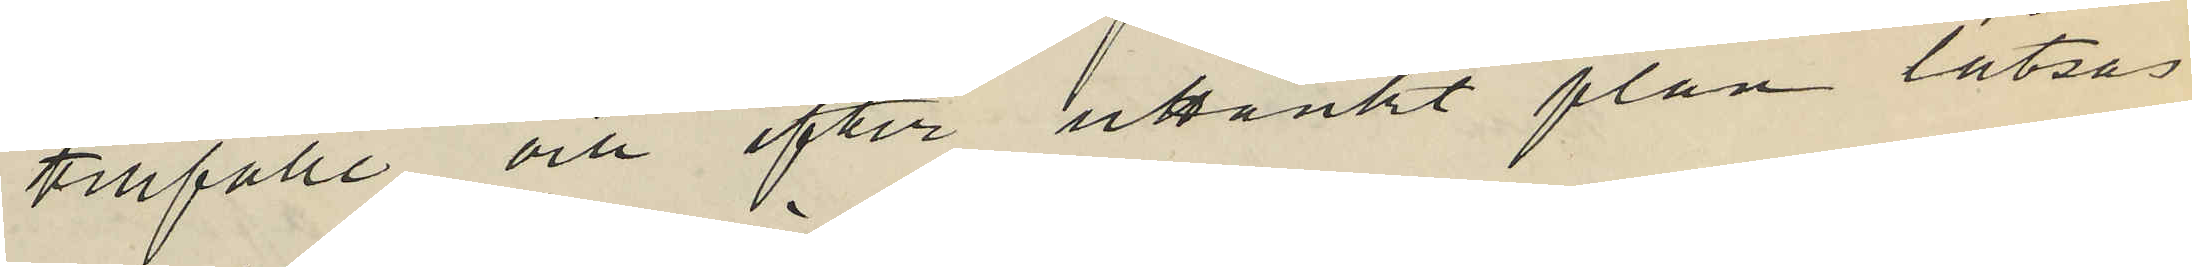tillfälle och efter uttänkt plan låtsas
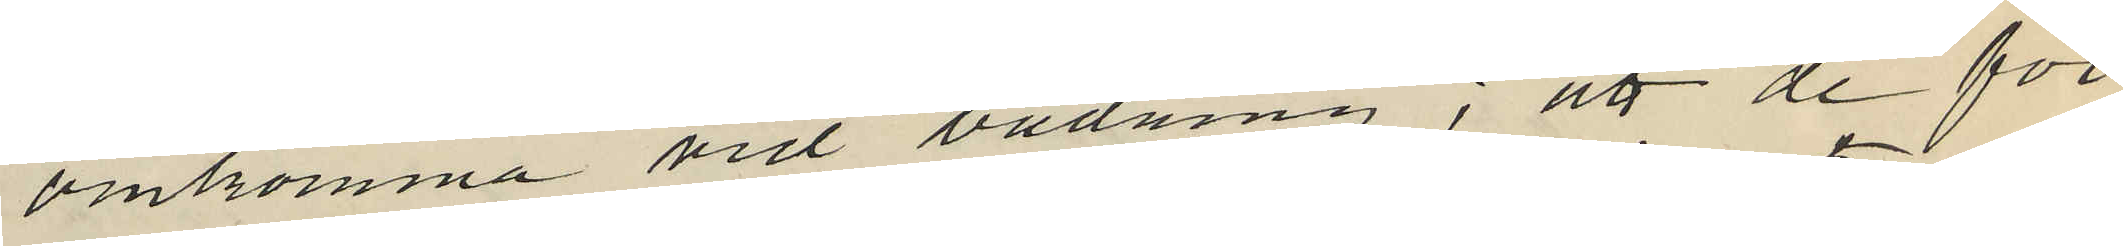omkomma vid badning; att de för
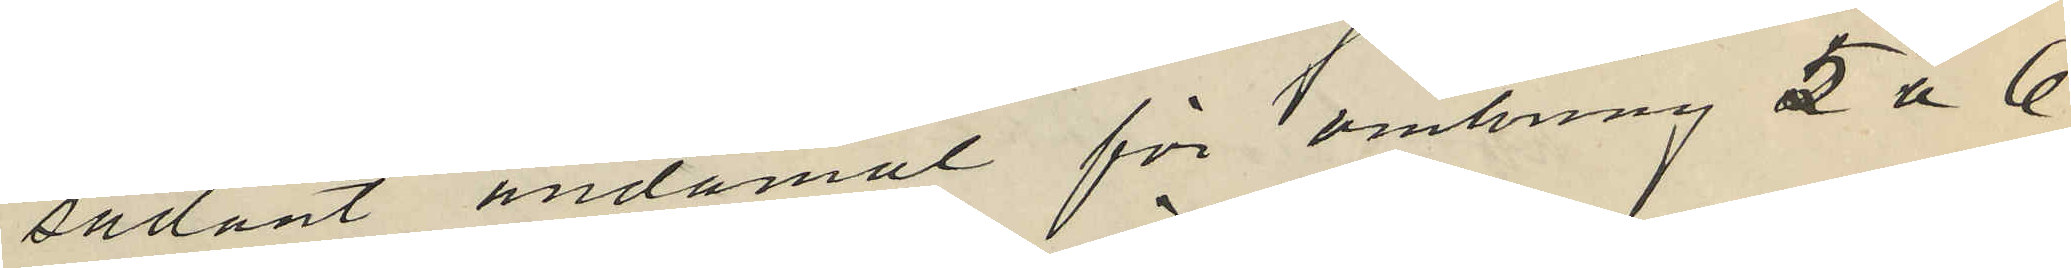sådant ändamål för omkring 5 á 6
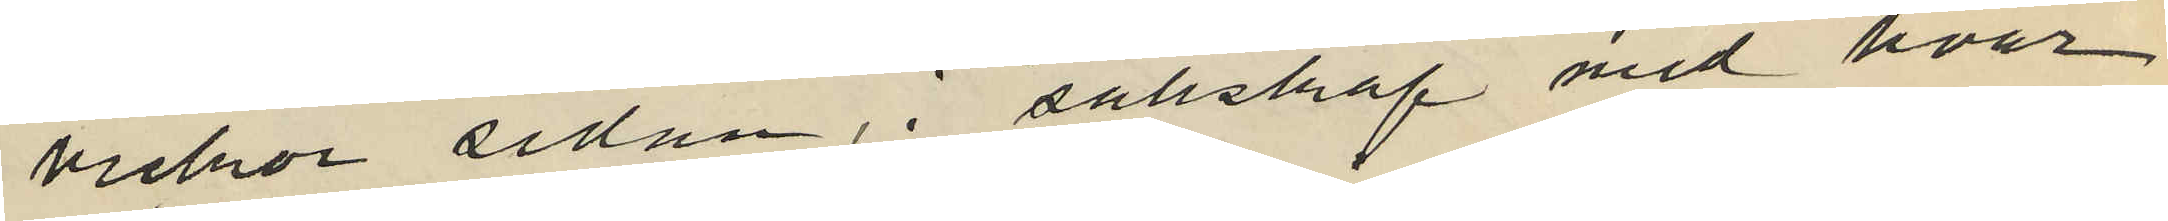veckor sedan, i sällskap med hvar
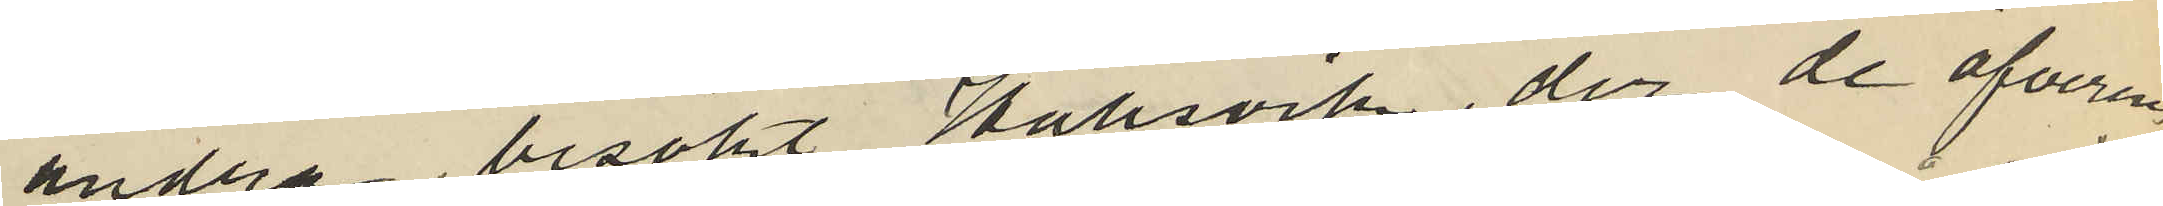andra, besökt Hallsvik, der de öfverens¬
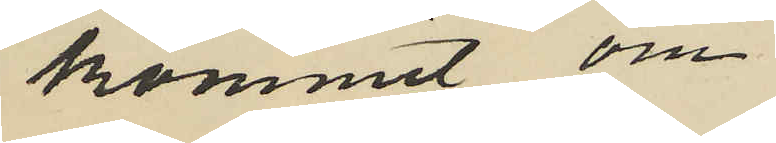kommit om
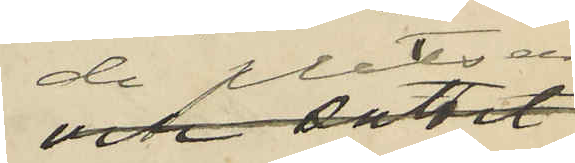de platser
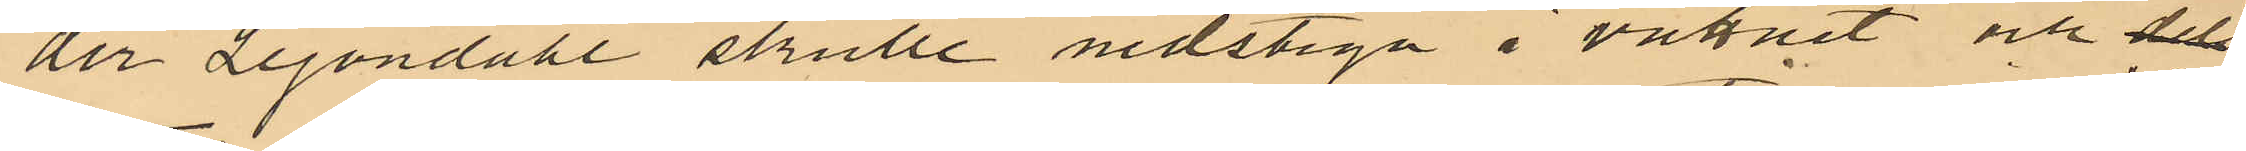der Lejondahl skulle nedstiga i vattnet och dels
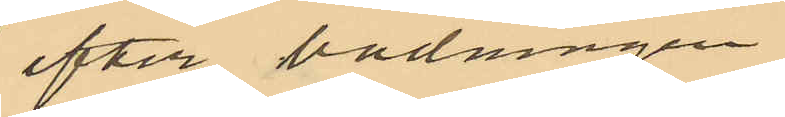efter badningen
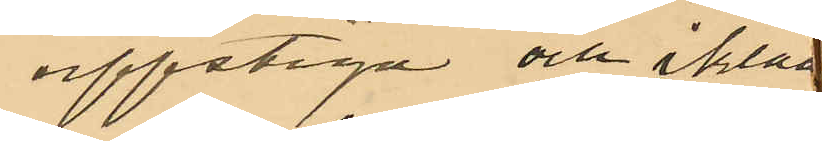uppstiga och ikläd
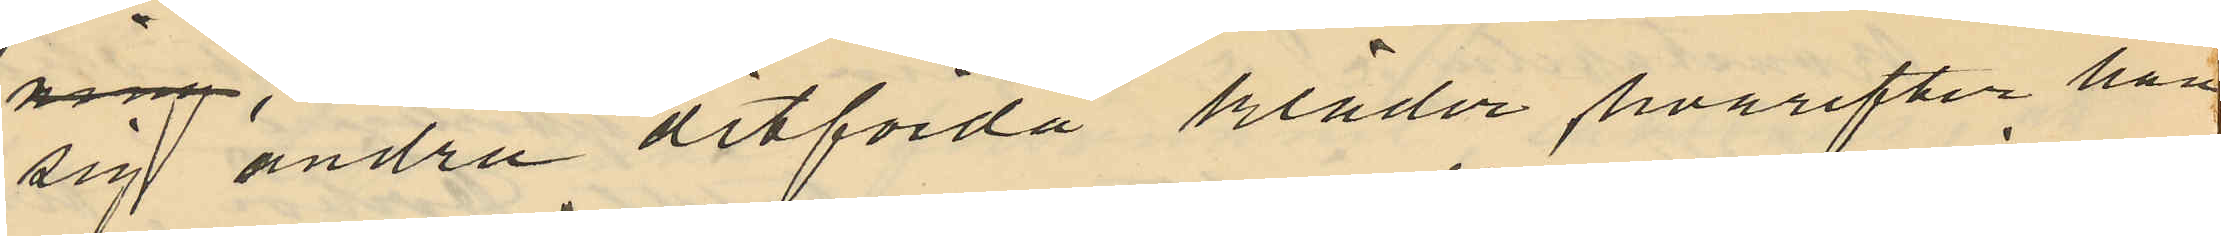sig andra ditförda kläder hvarefter han
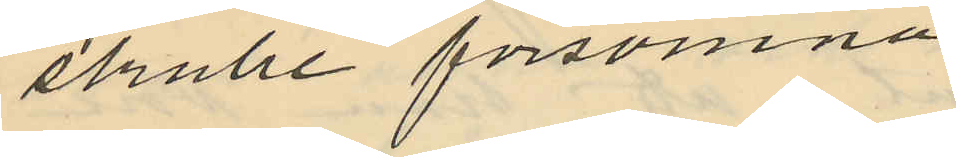skulle försvinna
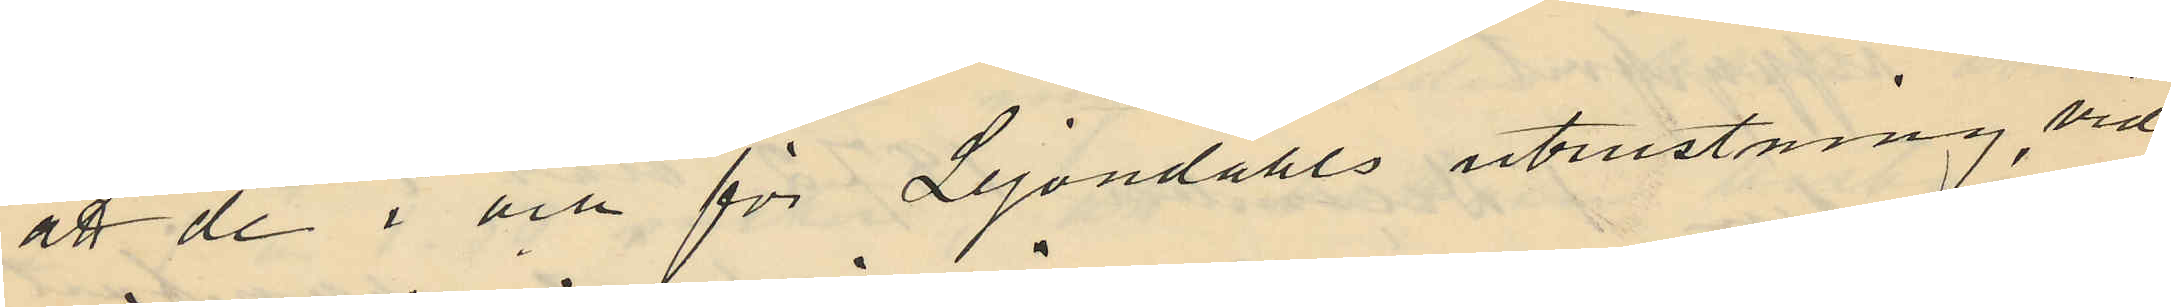att de i och för Lejondahls utrustning, vid
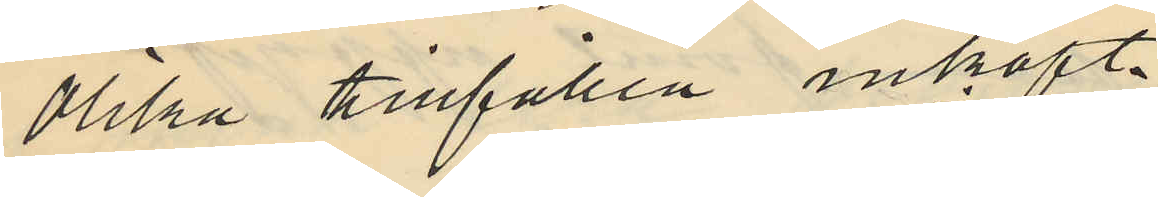olilka tillfällen inköpt,
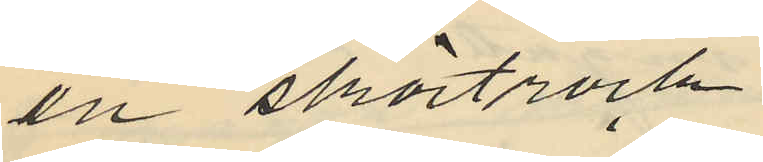en skörtrock
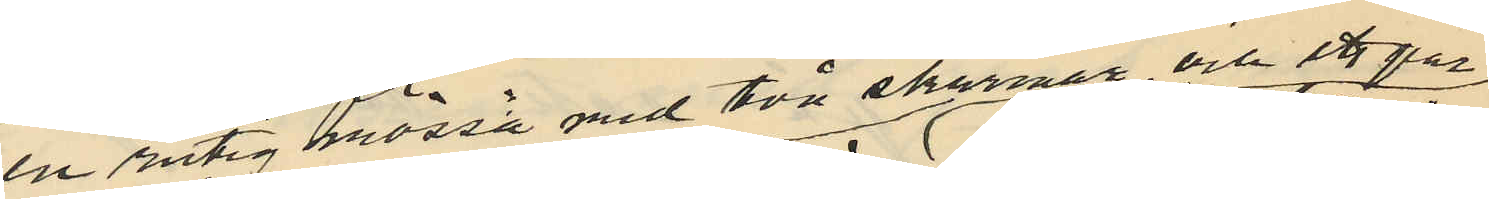en rutig mössa med två skärmar, och ett par
